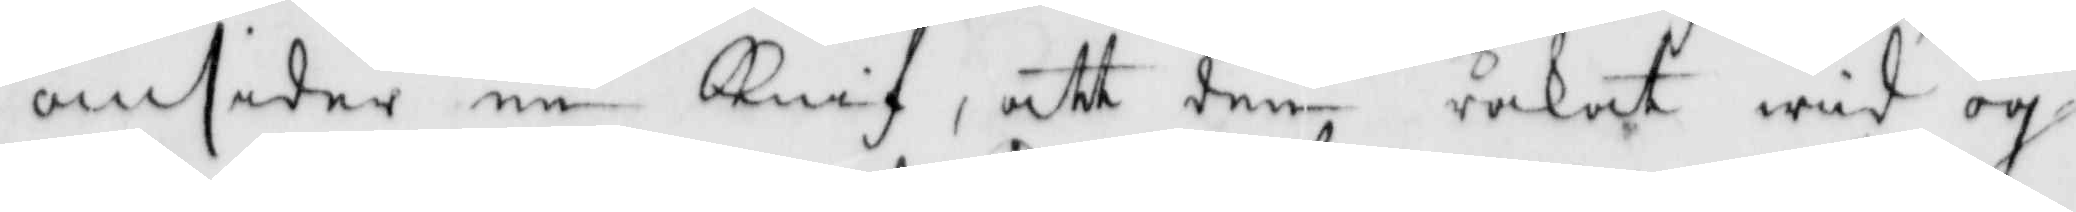omsider en Knif, att den råkat wid ög¬
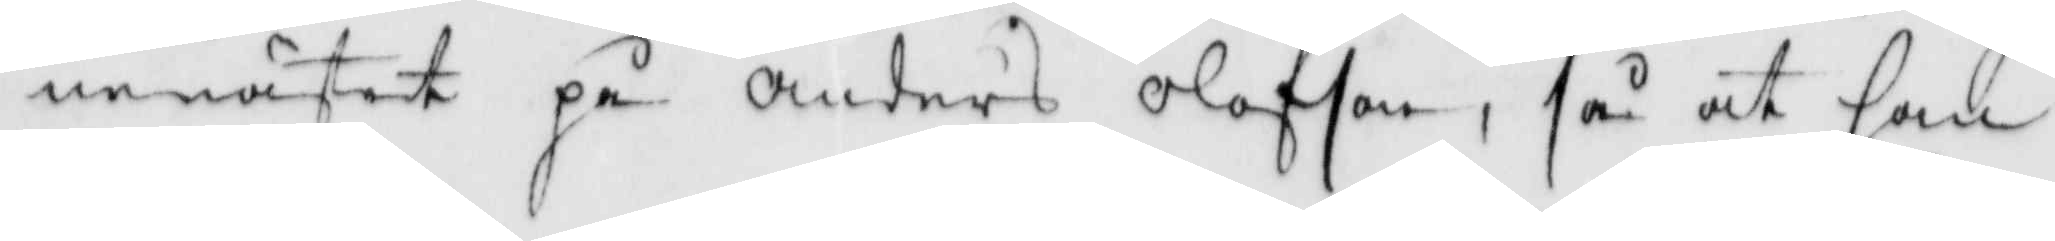nenästet på Anders olofson, så at han
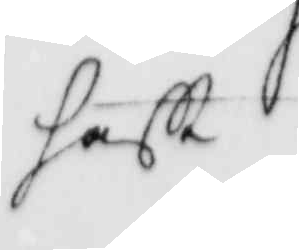hafft
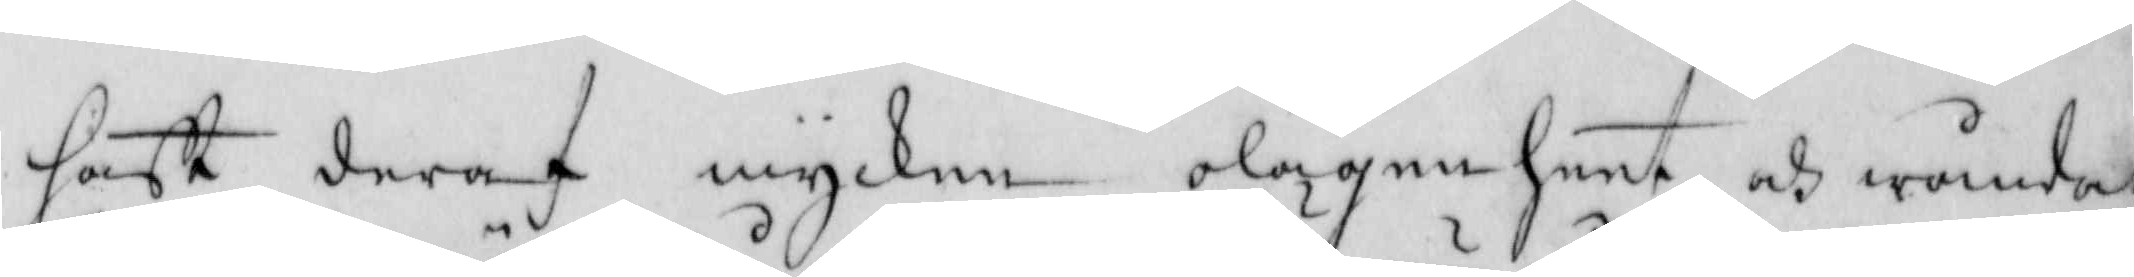hafft deraf mycken olägenheet och wånda,
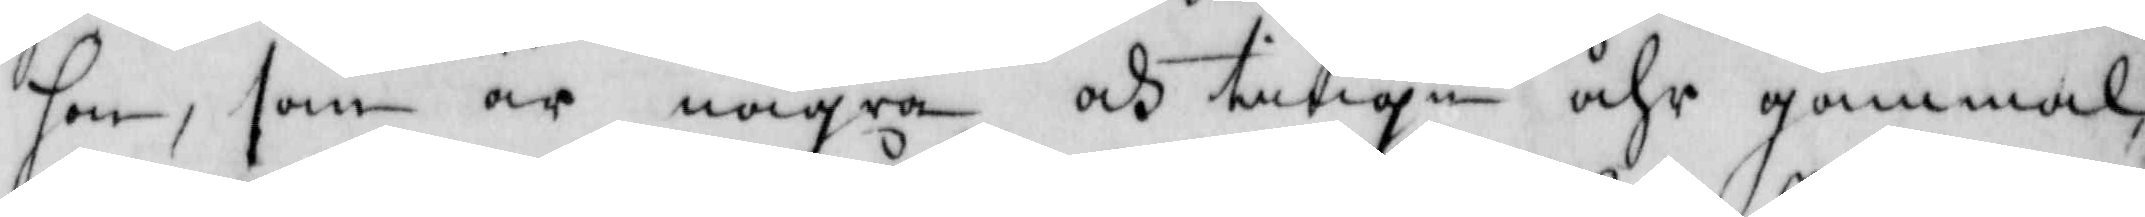hon, som är några och tiugu åhr gammal.
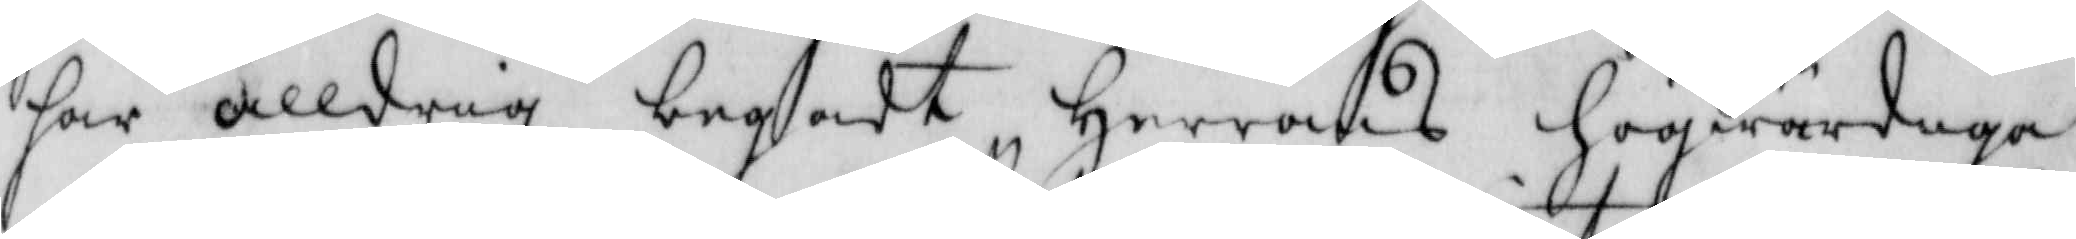har alldrig begådt Herrans högwärdiga
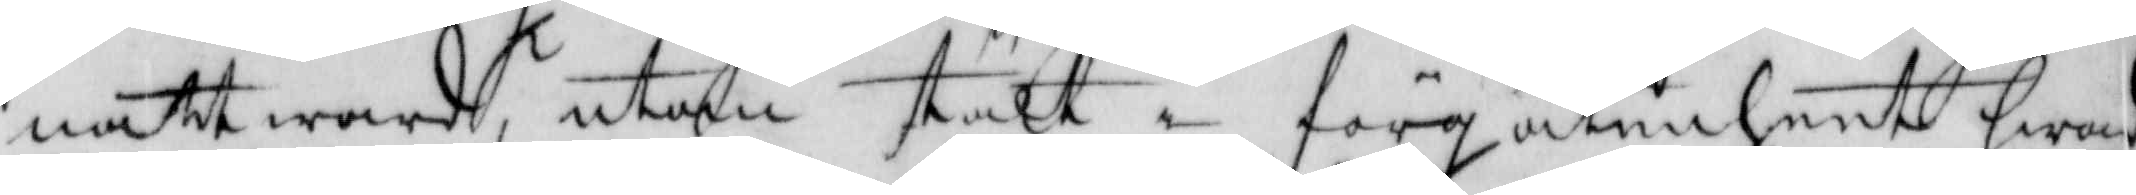nattward, utan utan stält i förgätenheet hwad
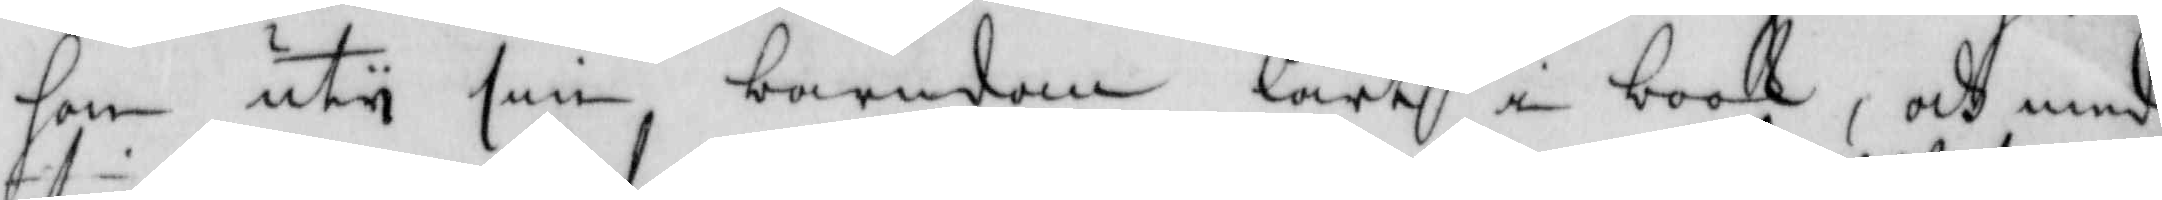hon uty sin barndom lärdt i book, och med
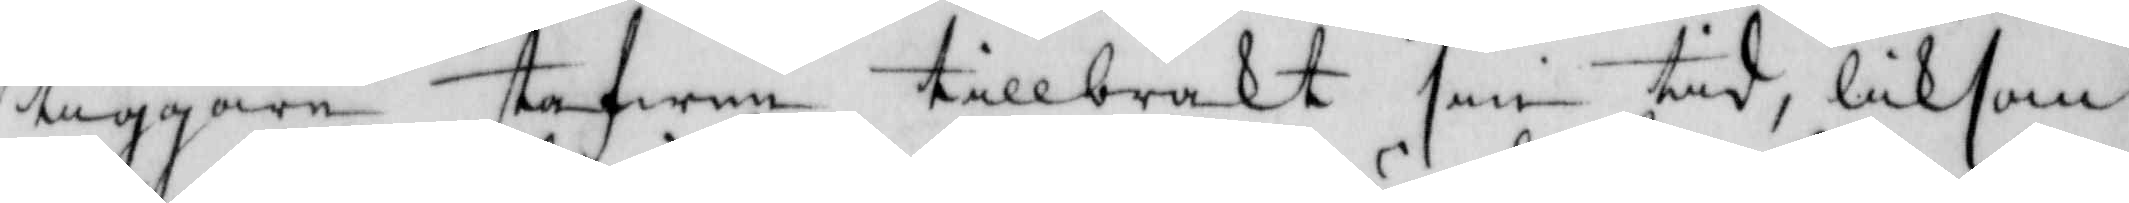tiggare stafwen tillbrackt sin tid, liksom
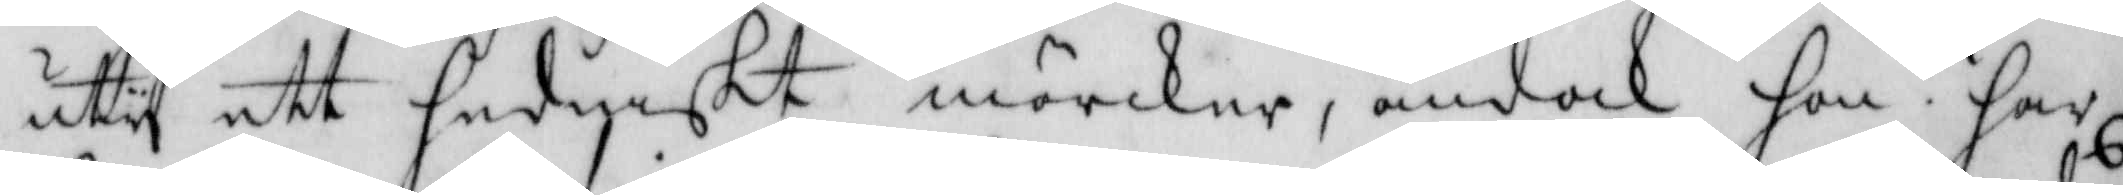uty ett hedniskt mörcker, ändock hon har
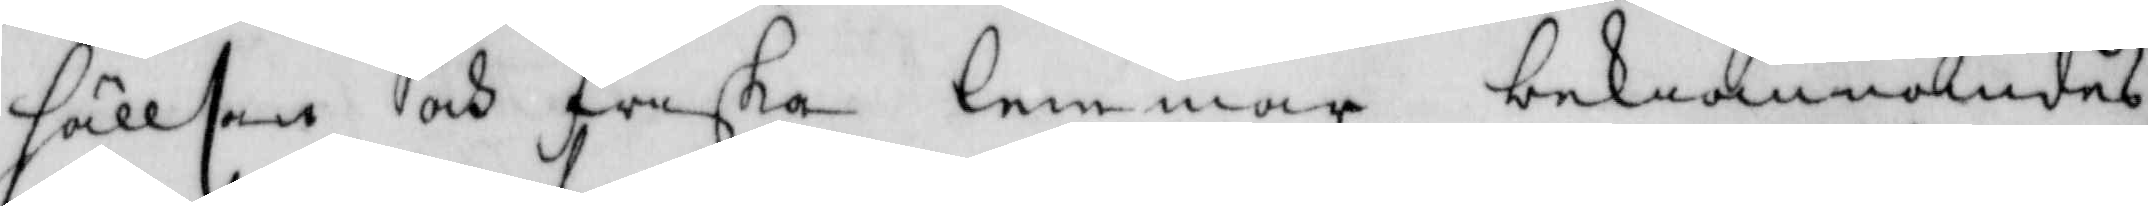hällsan och friska lemmar, bekiännandes
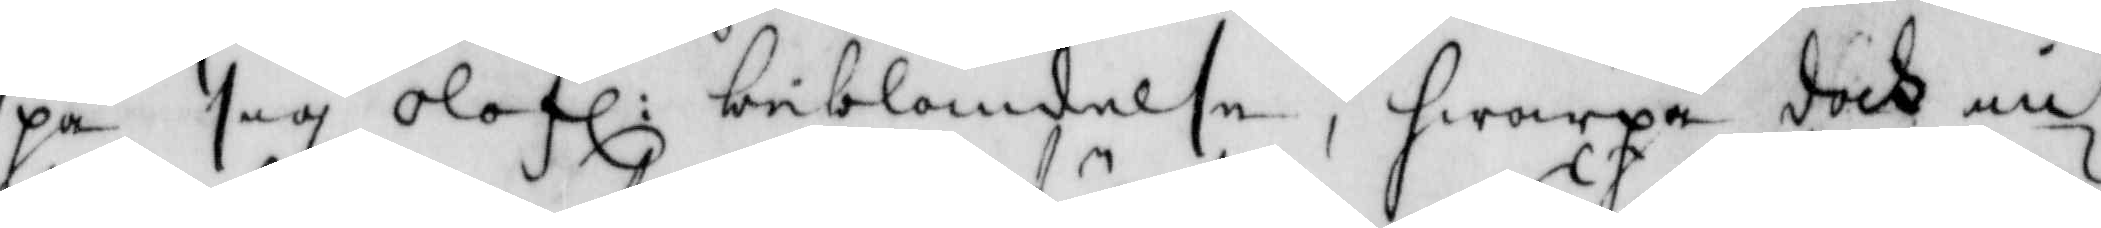på sig olofl: beblandelse, hwarpå doch in¬
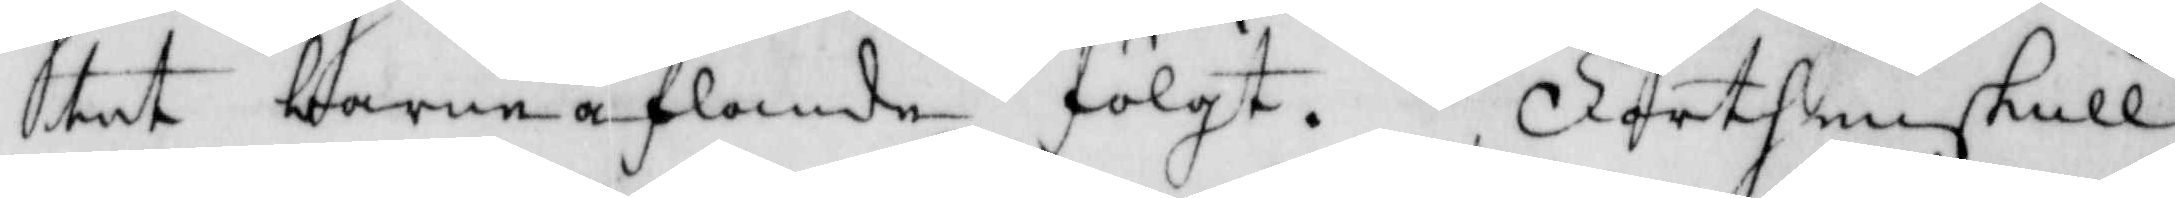tet barnaflande fölgt. Förthenskull
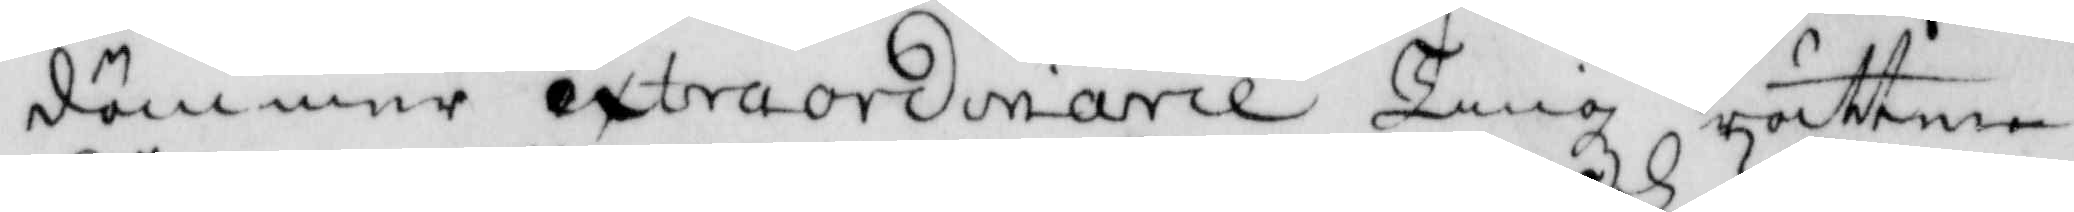dömmer extraordinarie Tingz rätten
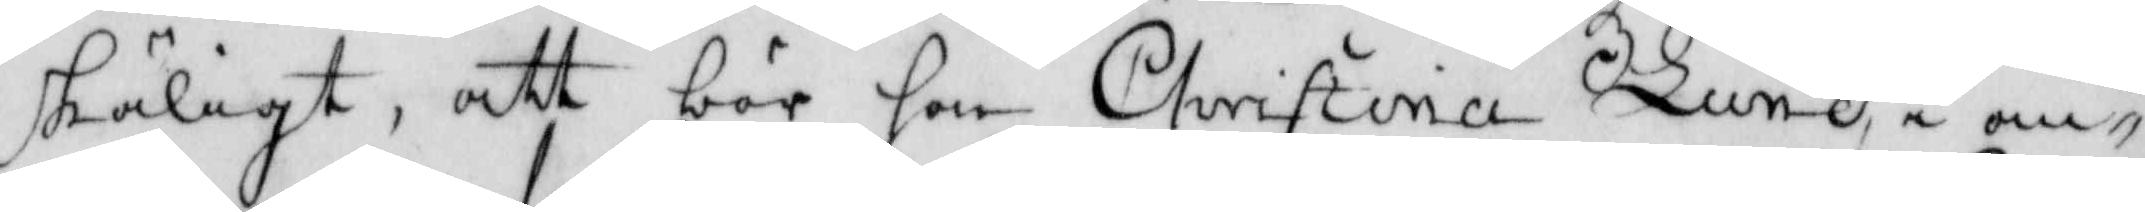skäligt, att bör hon Christina Lund, i an¬
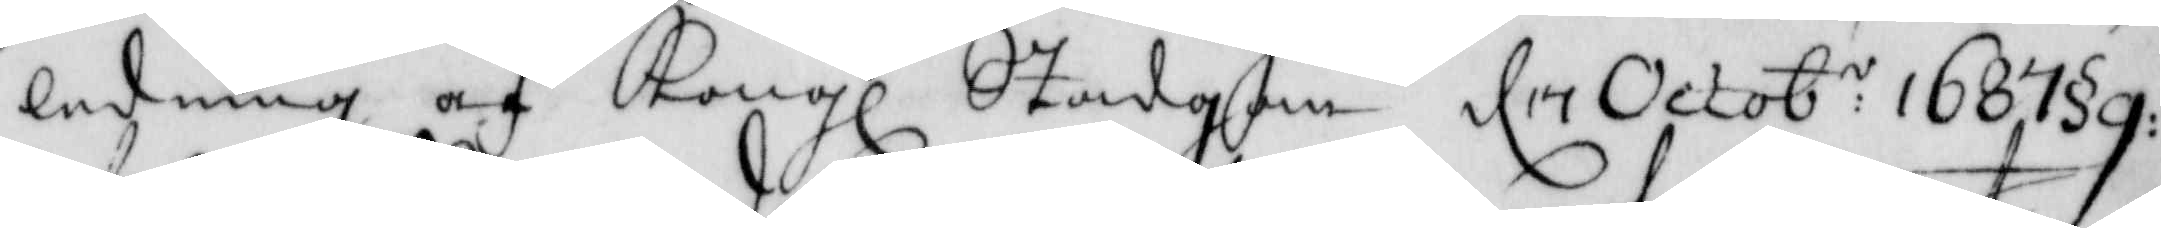ledning af Kongl Stadgan d 17 Octob:r 1687 § 9:
